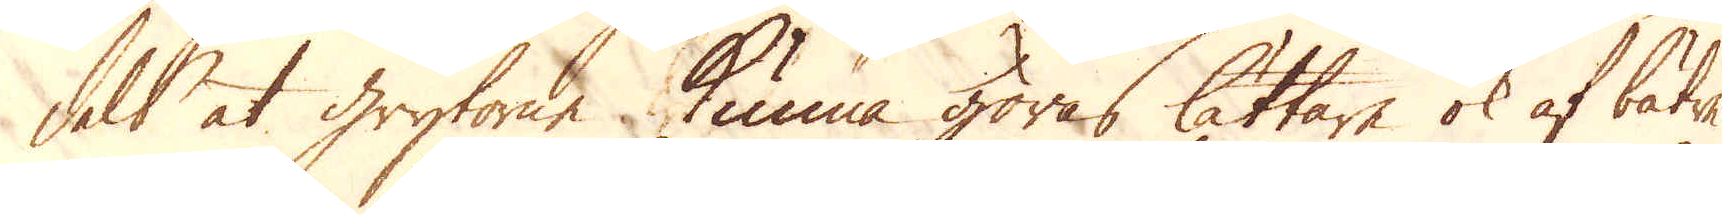dels at grytorne kunna göras lättare ok af bätre
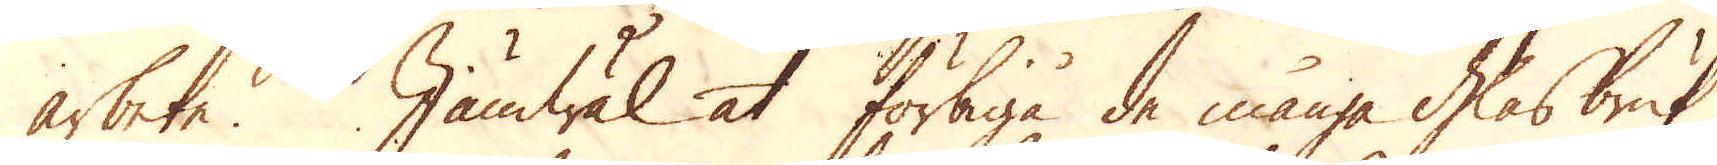arbete. Jämwäl at förbiga de många Glasbruk,
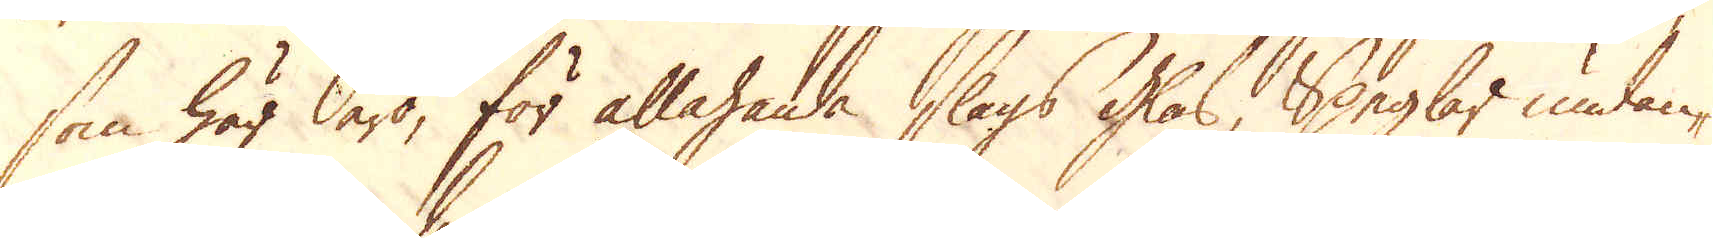som här äro, för allahanda slags glas, Seglar undan-
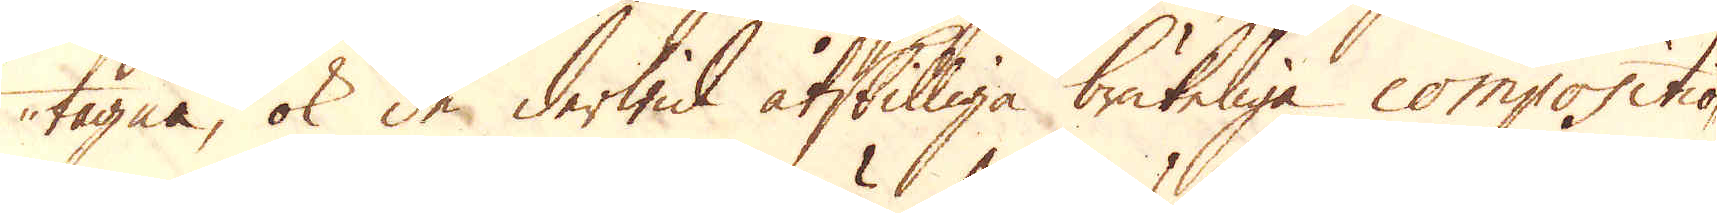tagne, ok de derwid åtskilliga brukeliga compositio-
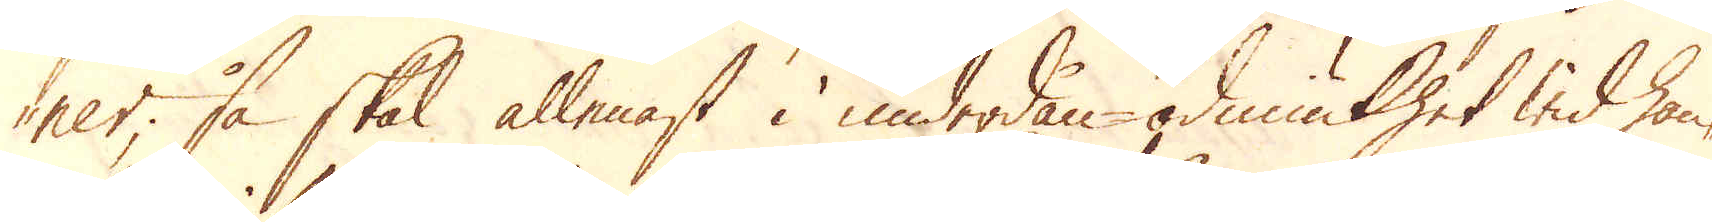ner, så skal allenast i underdån-ödmiukhet wid han-
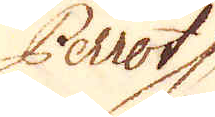Perrot
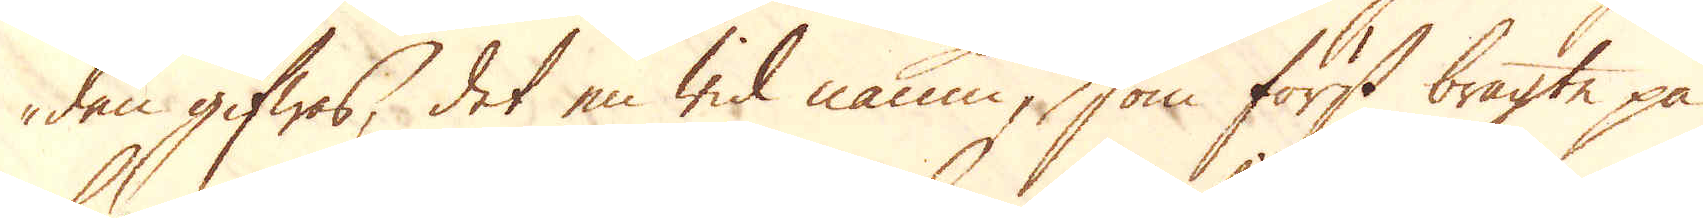den gifwas, det en wid namn, som först bragte på
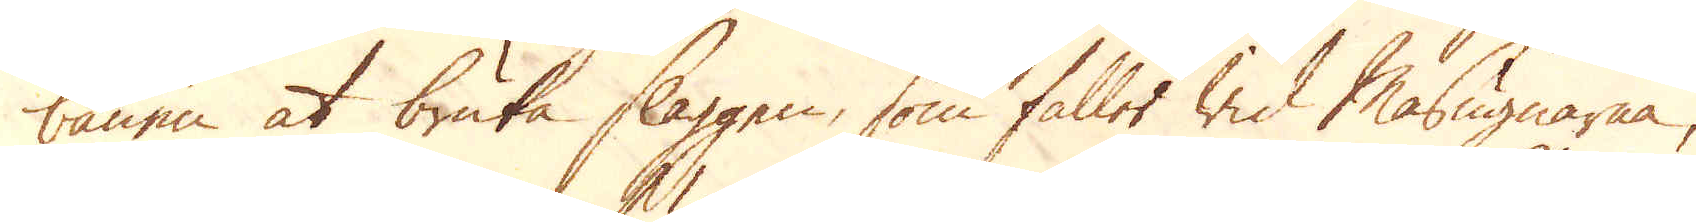banen at bruka slaggen, som faller wid Masugnarna,
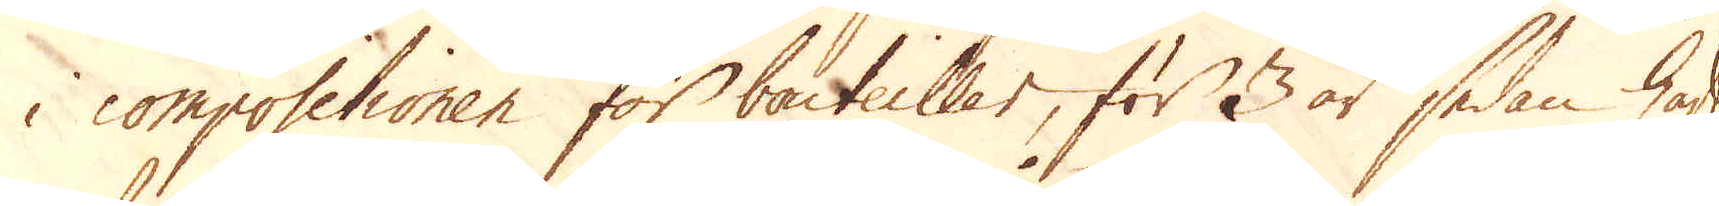i compositionen för bouteiller, för 3 år sedan haft
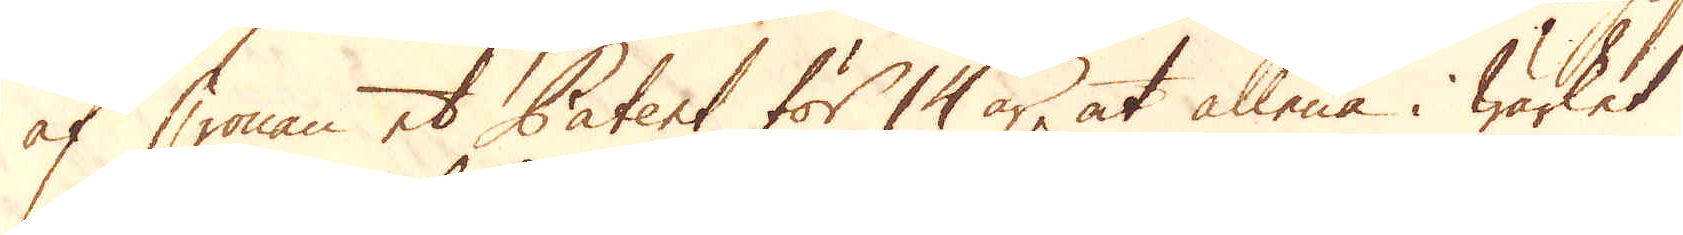af Cronan et Patent för 14 år, at allena i wärket
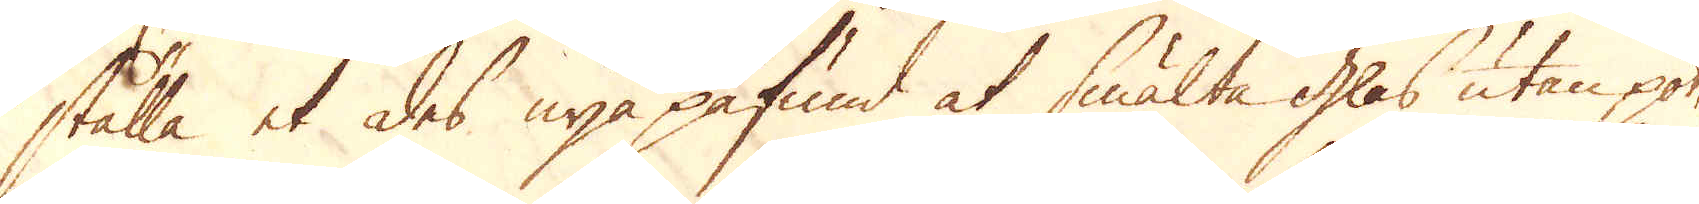ställa et des nya påfund at smälta glas utan pot-
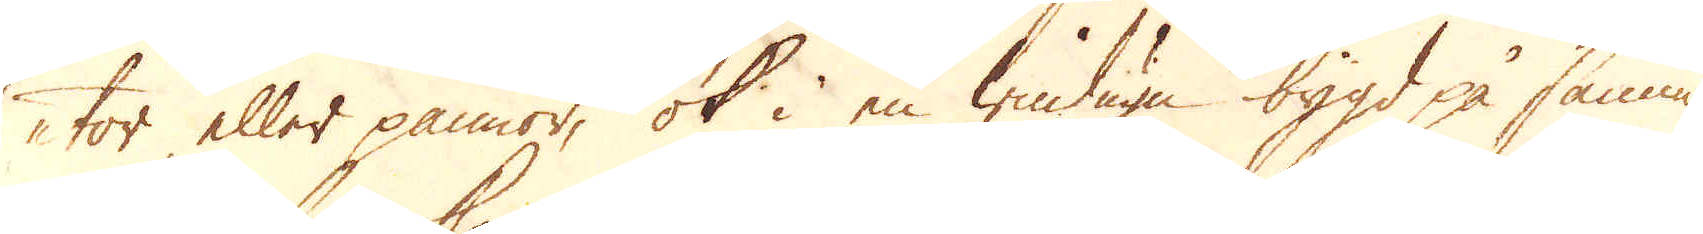tor eller pannor, ok i en windugn bygd på samma
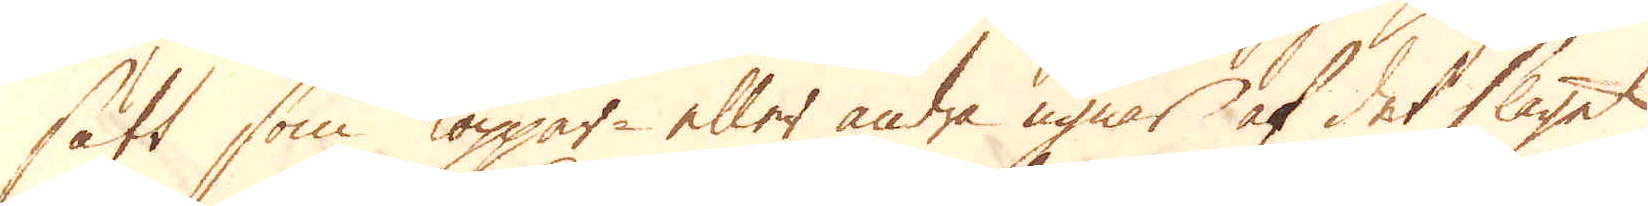sätt som koppar eller andra ugnar af det slaget
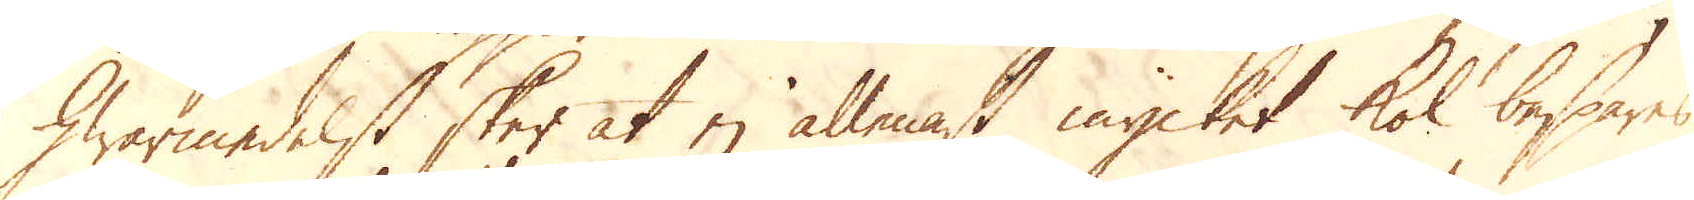hwarmedelst sker at ej allenast mycket kol bespares,
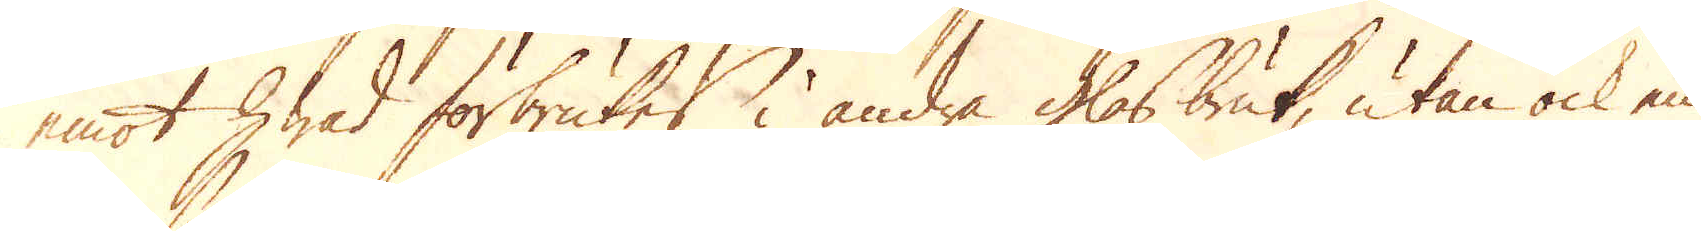emot hwad förbrukes i andra glasbruk, utan ock en
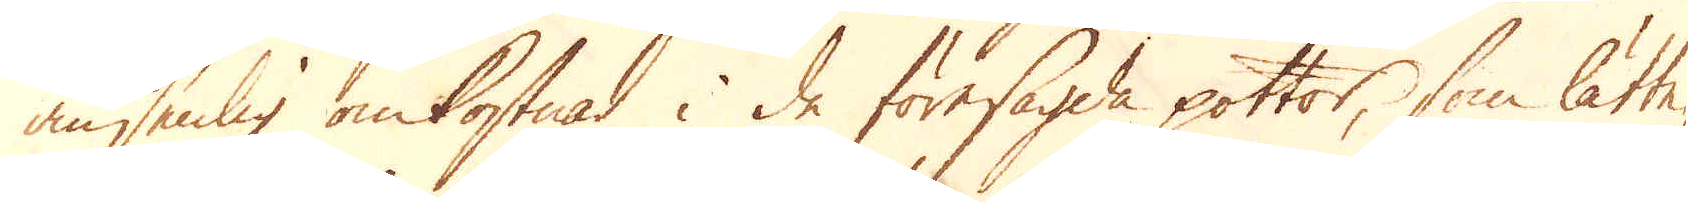ansenlig omkostnad i de föresagda pottor, som lätte-
